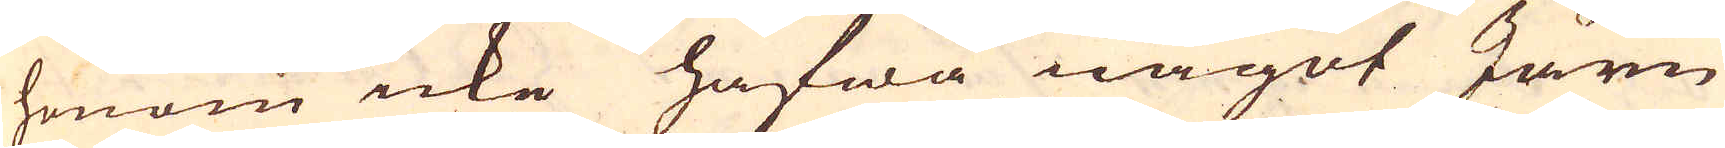honom icke hafwa något Järn
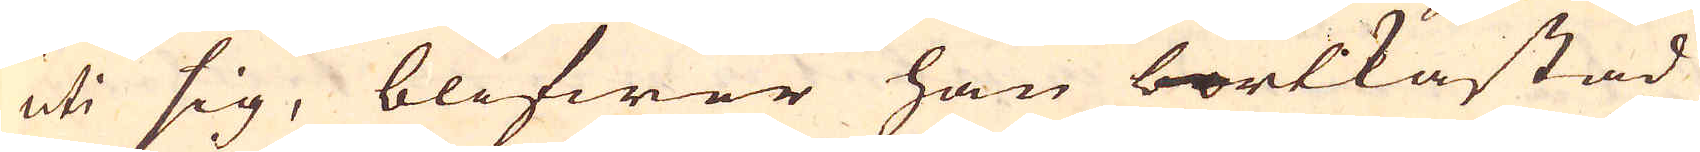uti sig, blifwer han bortkastad
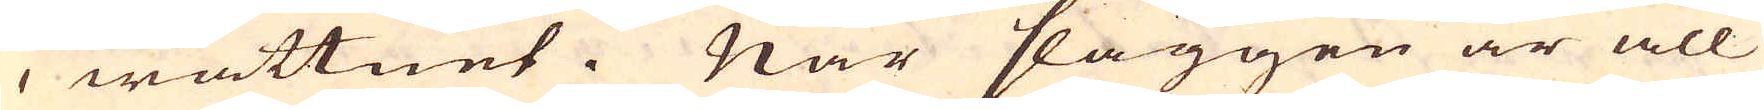i wattnet. När slaggen är all
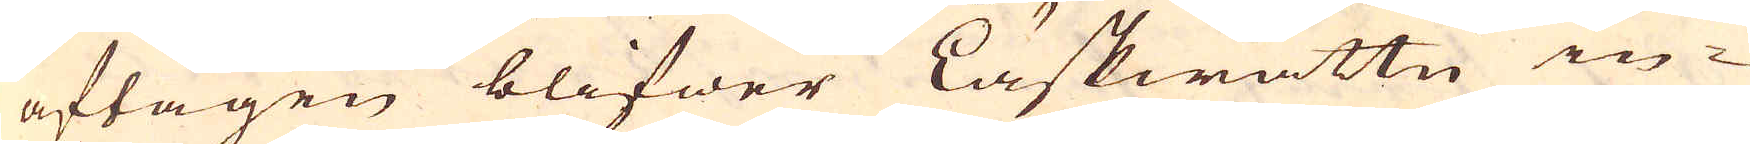aftagen blifwer Läskwattn in-
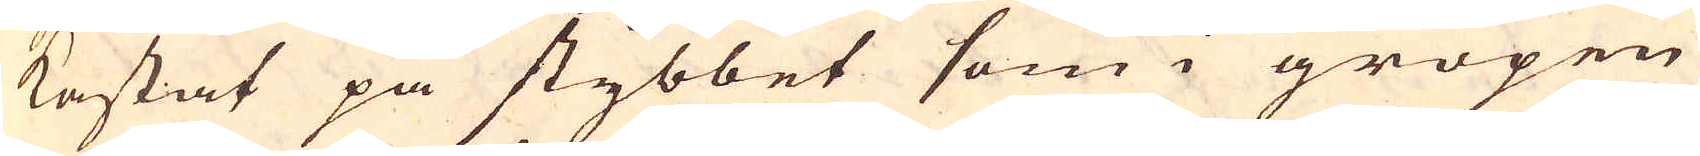kastat på stybbet som i gropen
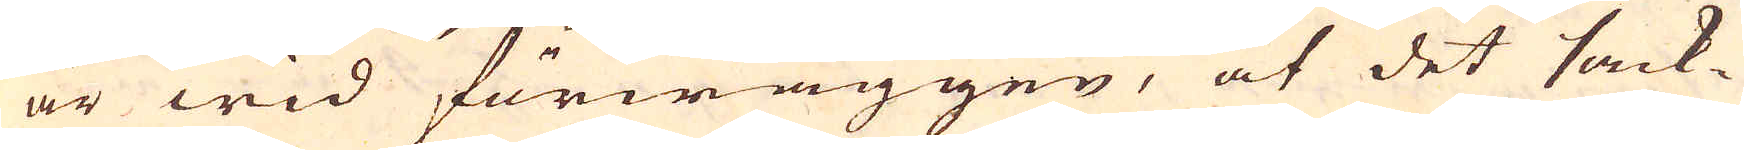är wid förwäggen, at det sack-
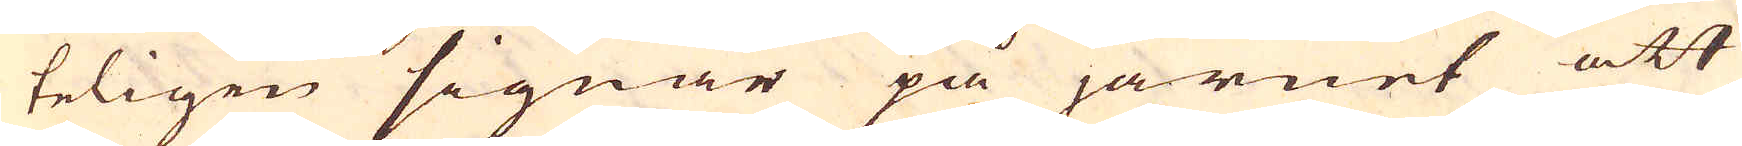teligen signar på järnet att
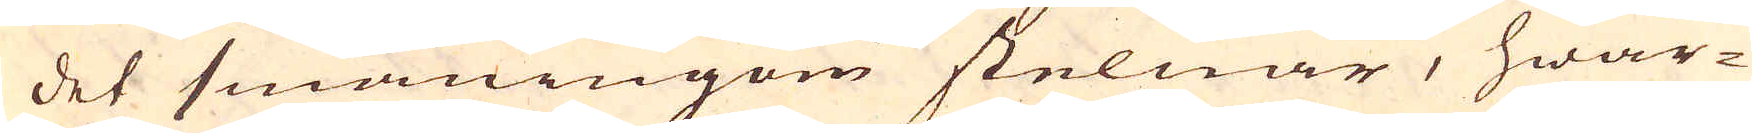det småningom stelnar, hwar-
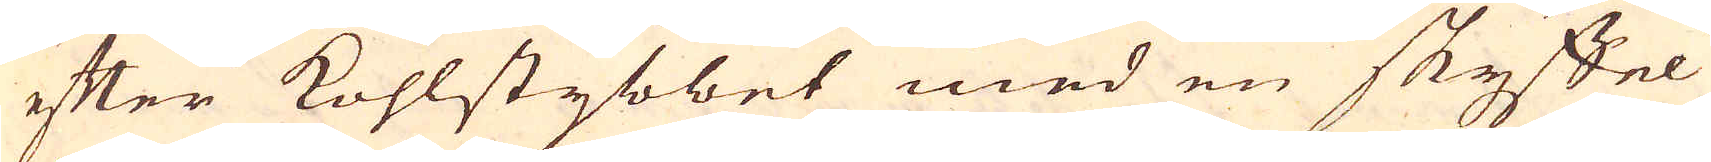efter kohlstybbet med en skyffel
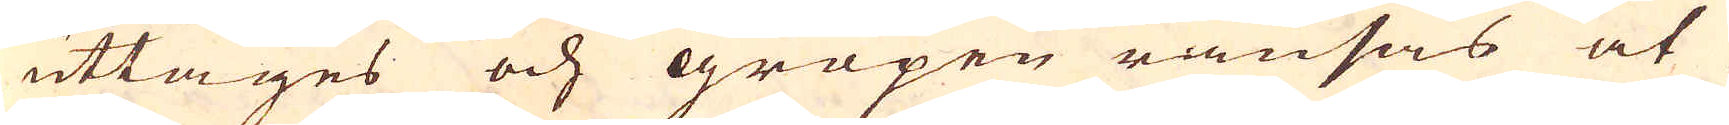uttages och gropen ränsas at
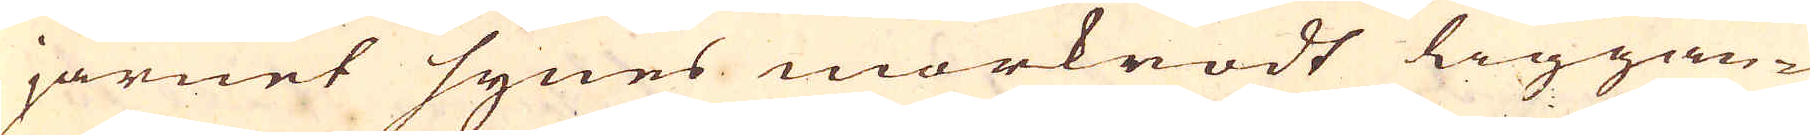järnet synes mörkrödt liggan-
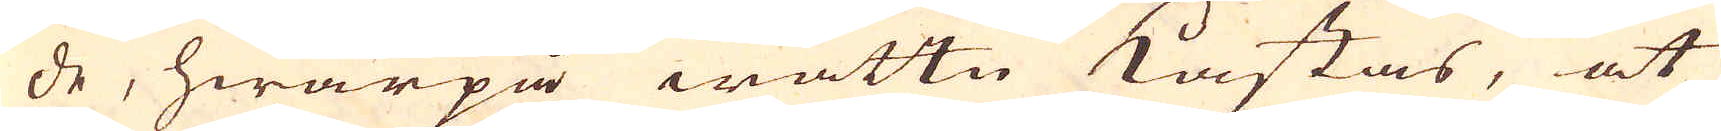de, hwarpå wattn kastas, at
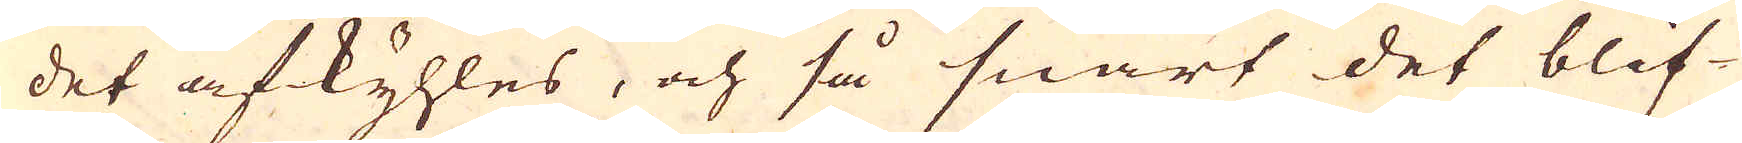det afkyhles, och så snart det blif-
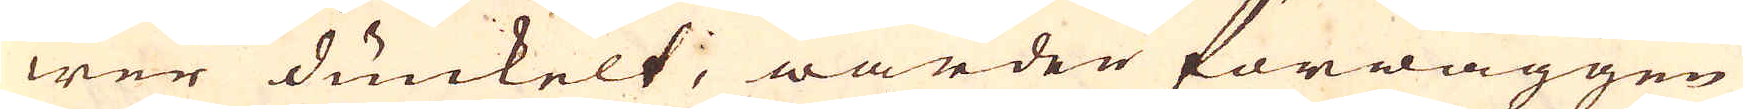wer dunkelt, warden förwäggen
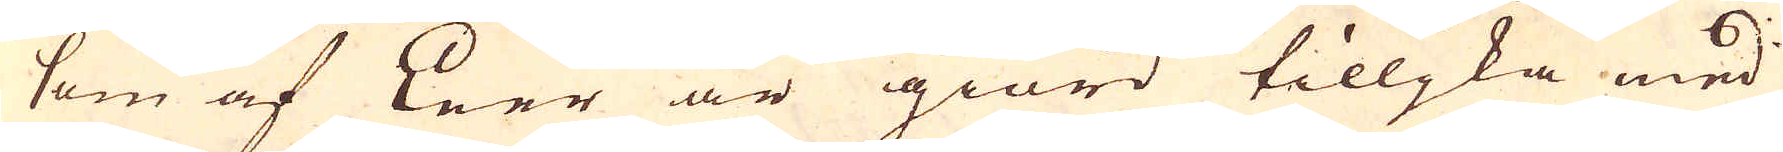som af Leer är giord tilljka med
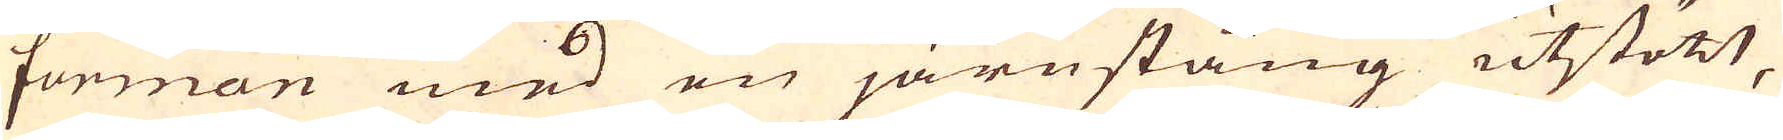forman med en järnstång utstött,
